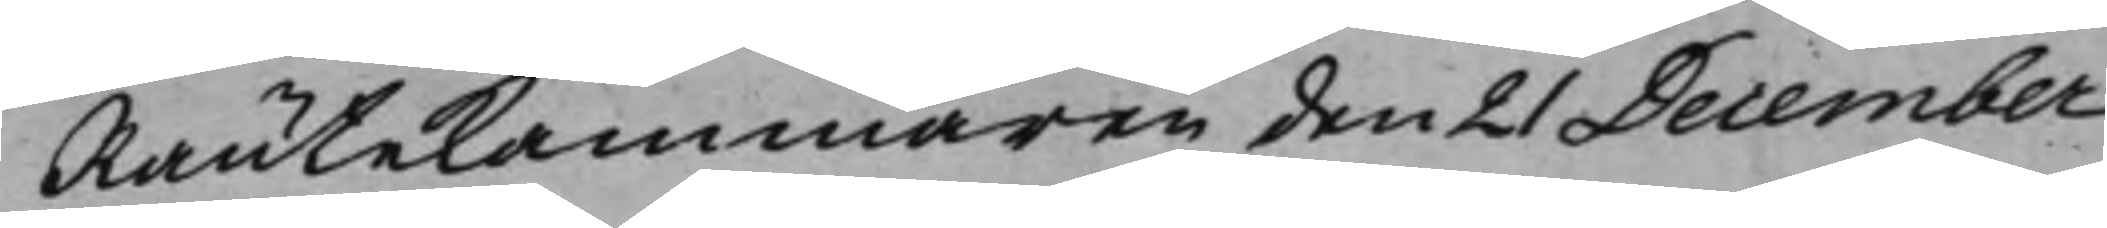Räntekammaren den 21 December
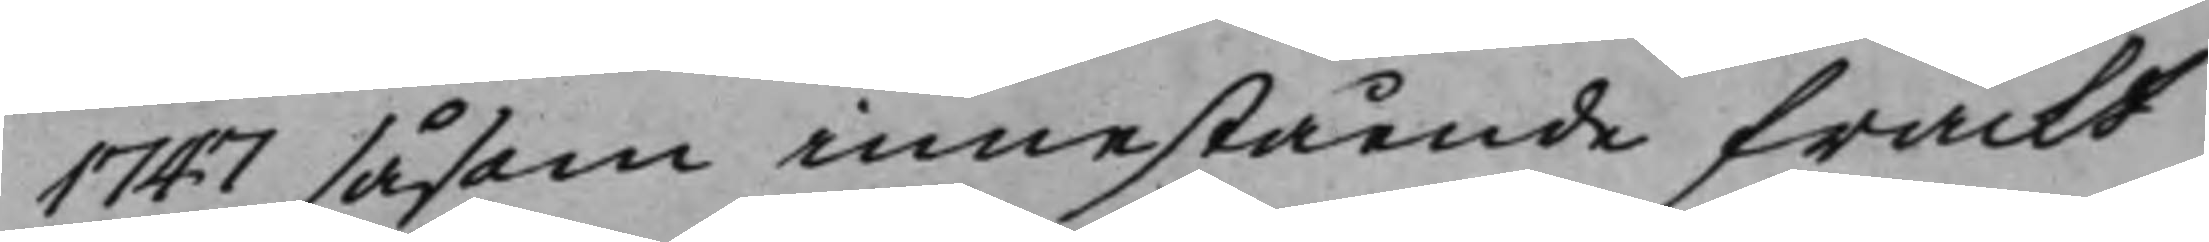1747 såsom innestående frackt
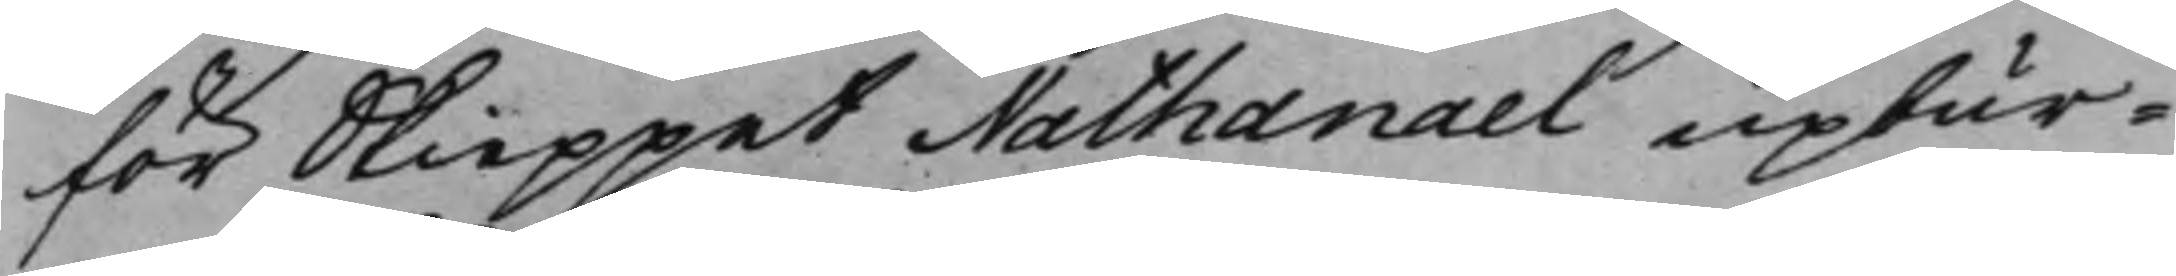för Skieppet Nathanael upbur¬
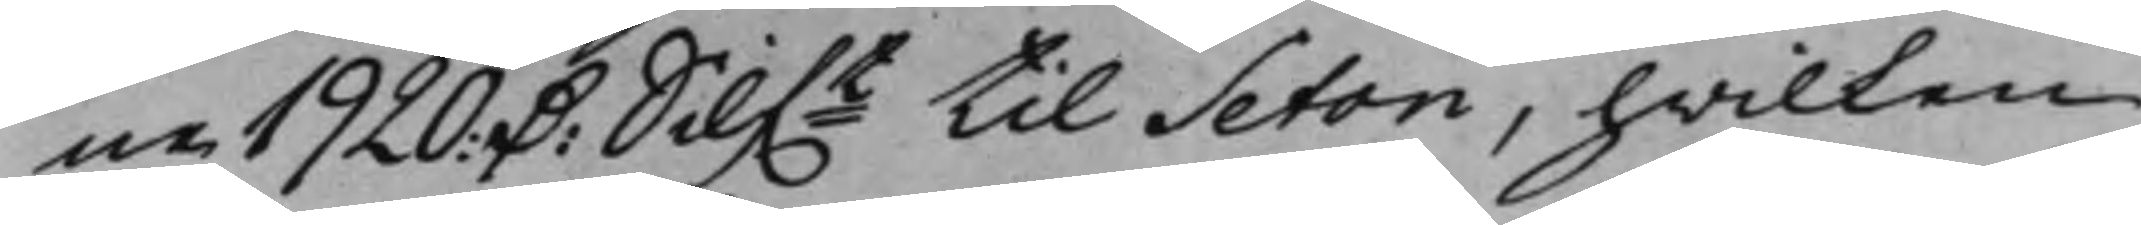ne 1920: D: Silf.t til Seton, hwilken 
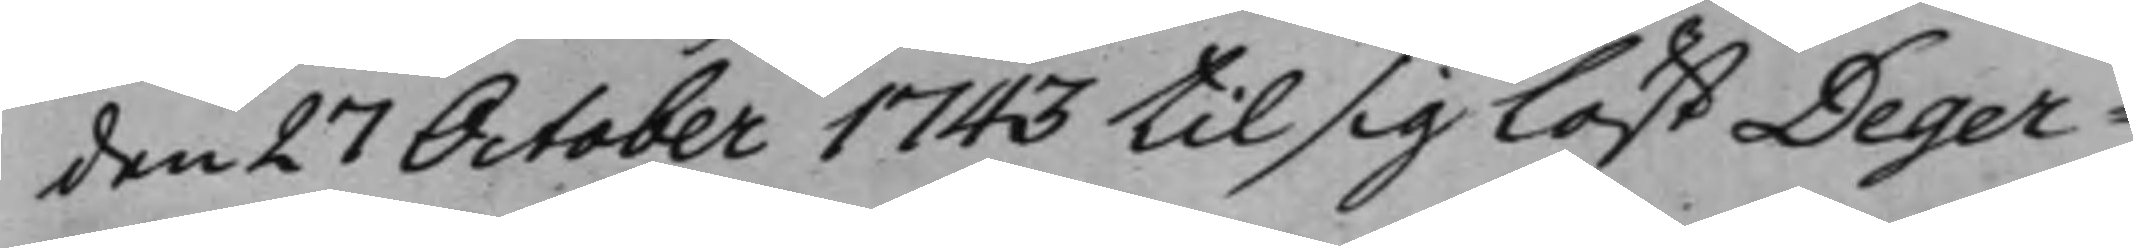den 27 October 1743 til sig löst Deger¬
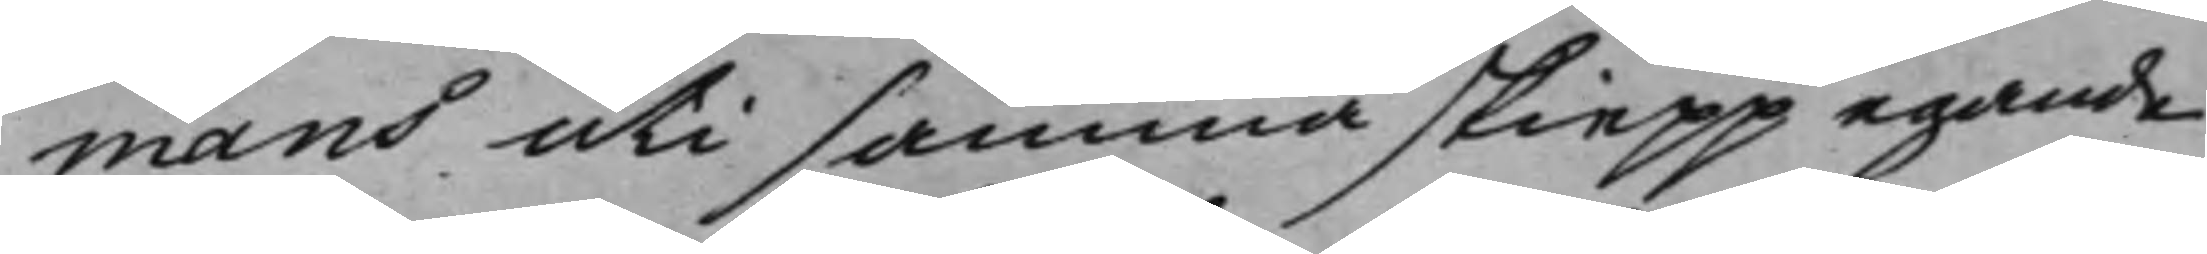mans uti samma skiepp egande
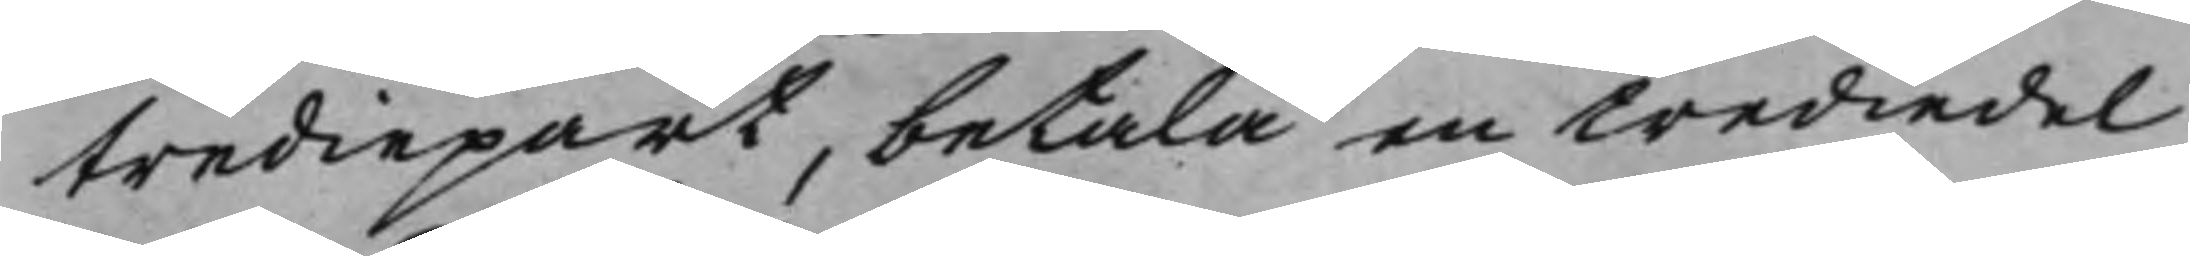trediepart, betala en trediedel
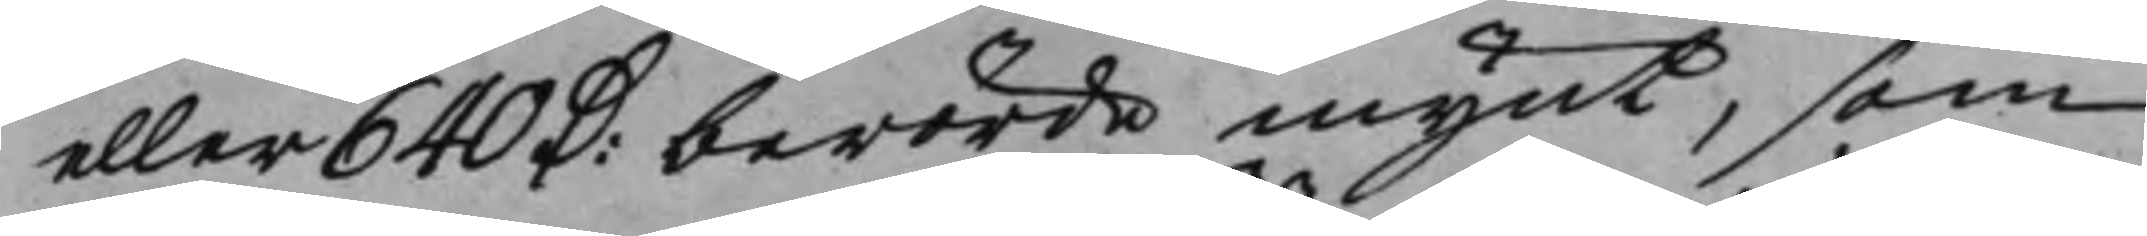eller 640 D: berörde mynt, som 
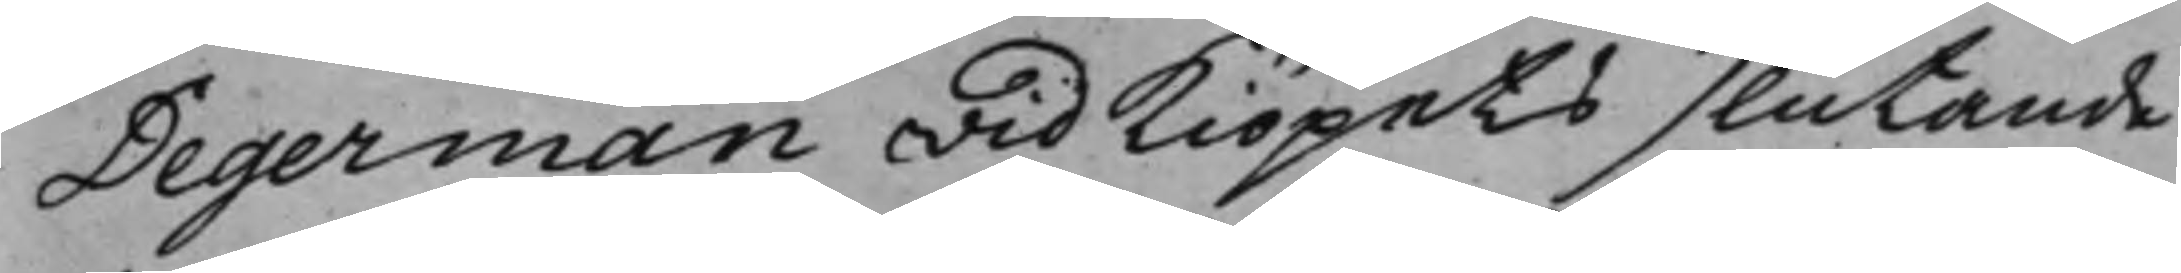Degerman wid kiöpets slutande
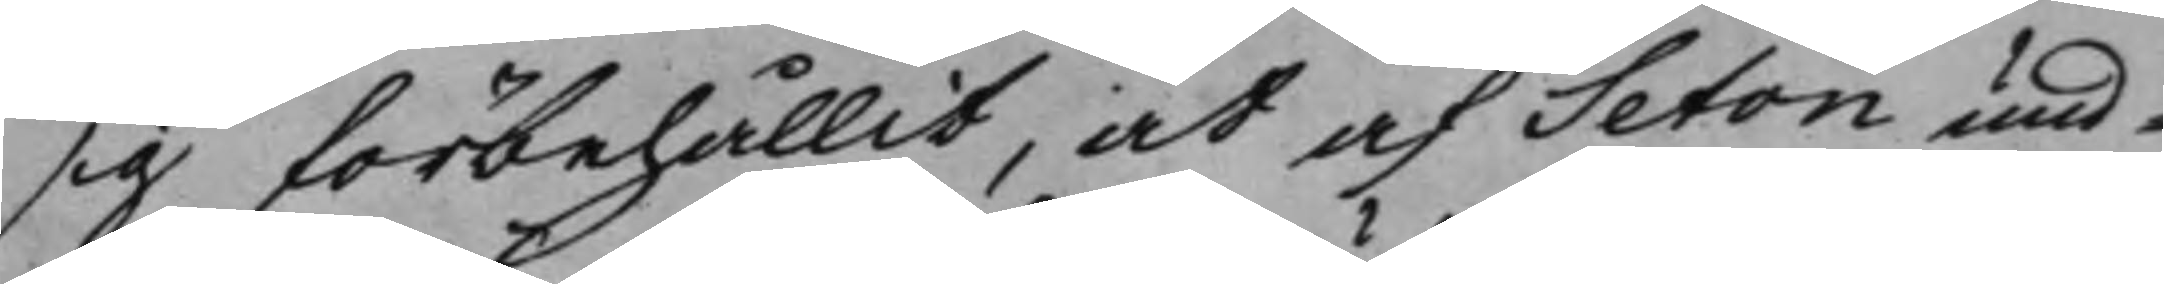sig förbehållit, at af Seton und¬
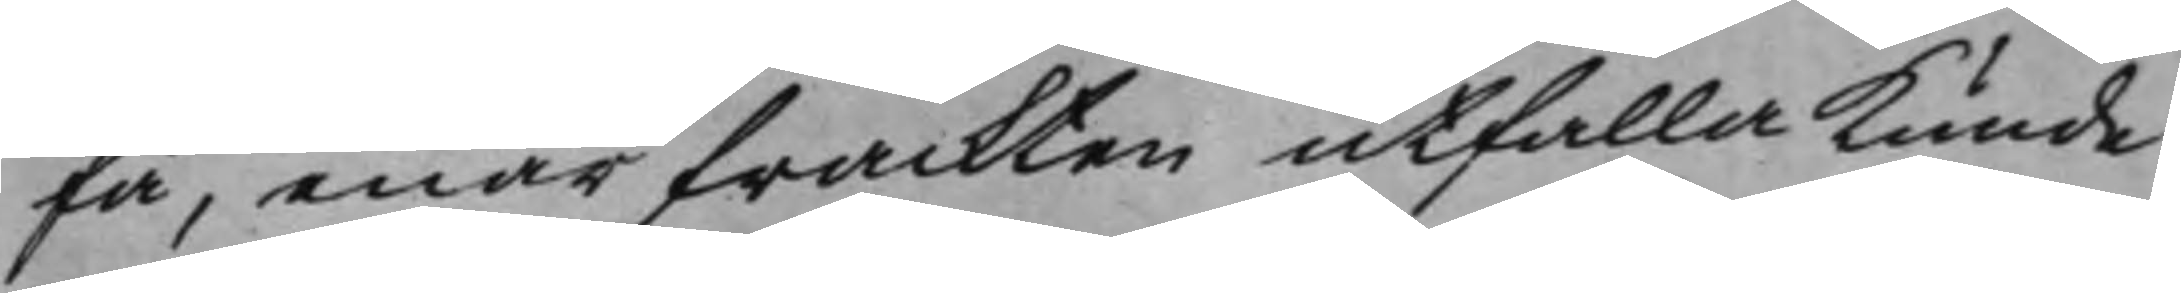få, enär frackten utfalla kunde:
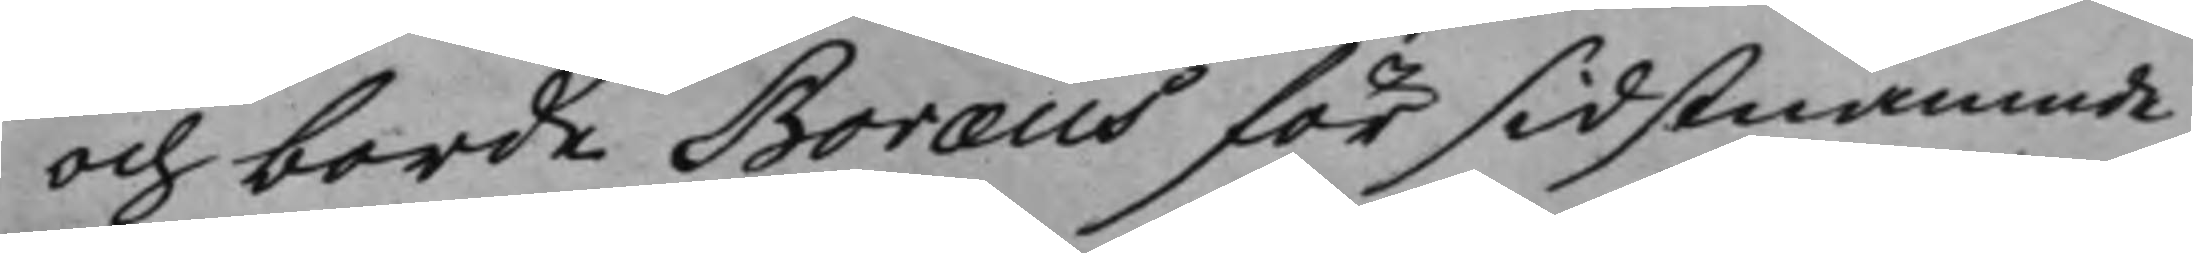och borde Boræus för sidstnämnde
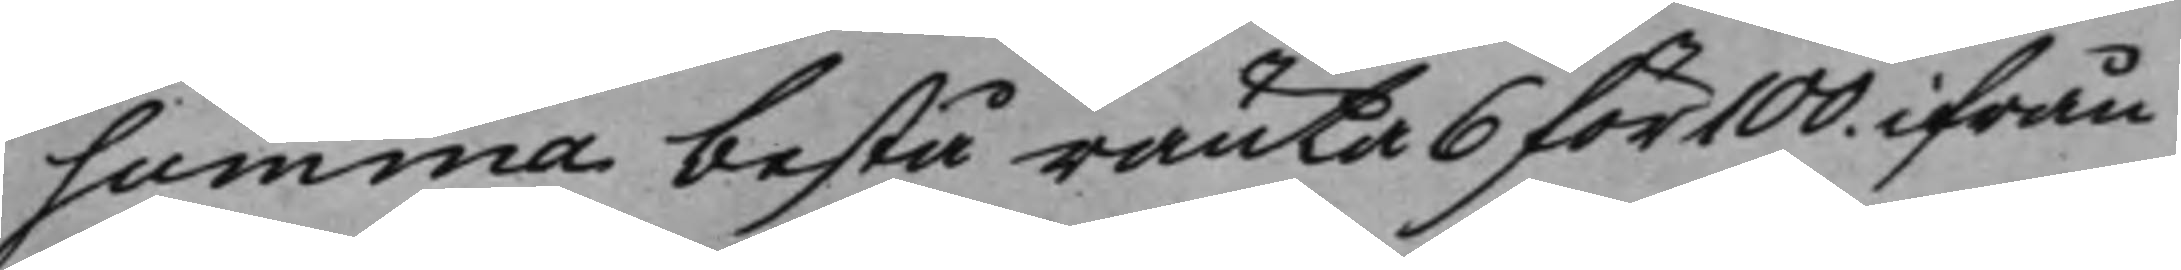summa bestå ränta 6 för 100. ifrån
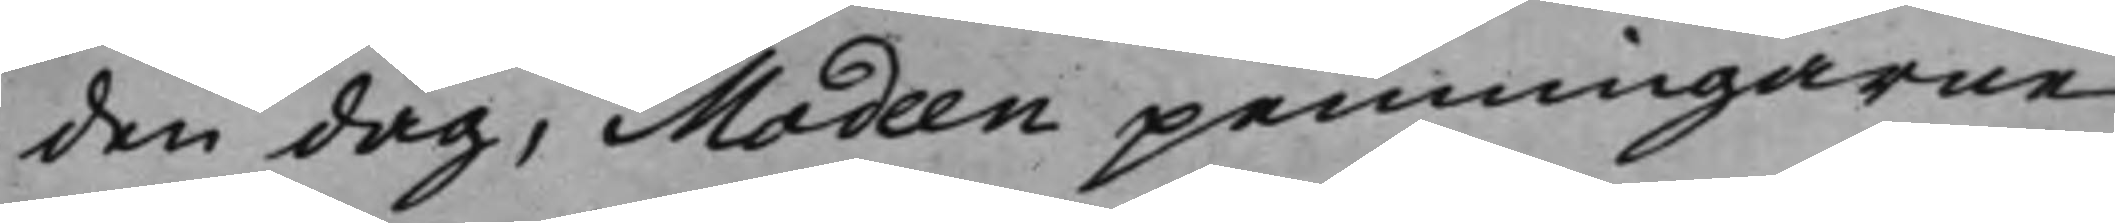den dag, Modeen penningarne
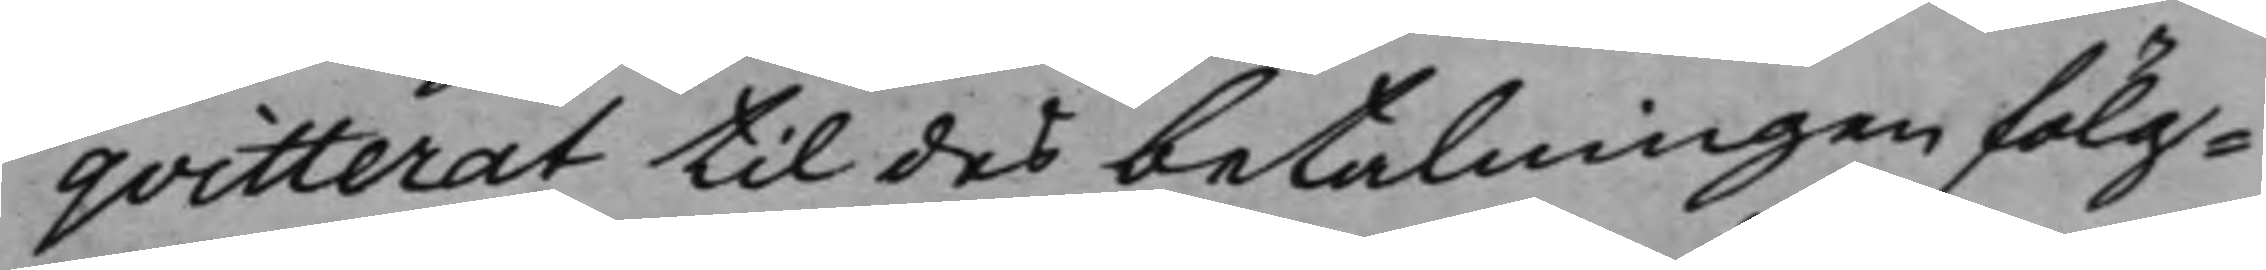qvitterat til des betalningen fölg¬
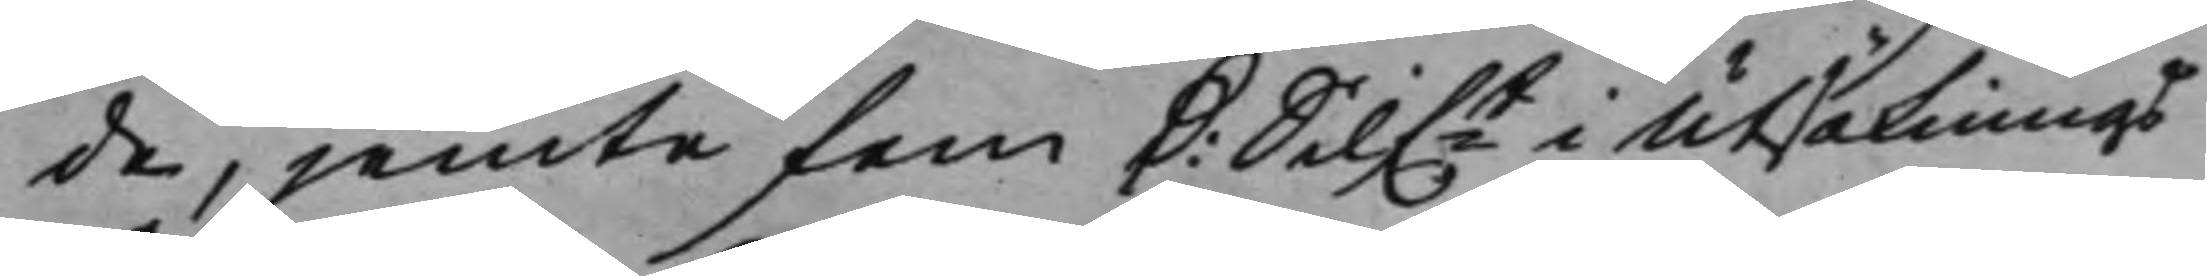de, jemte fem D: Silf.t i Utsöknings¬ 
